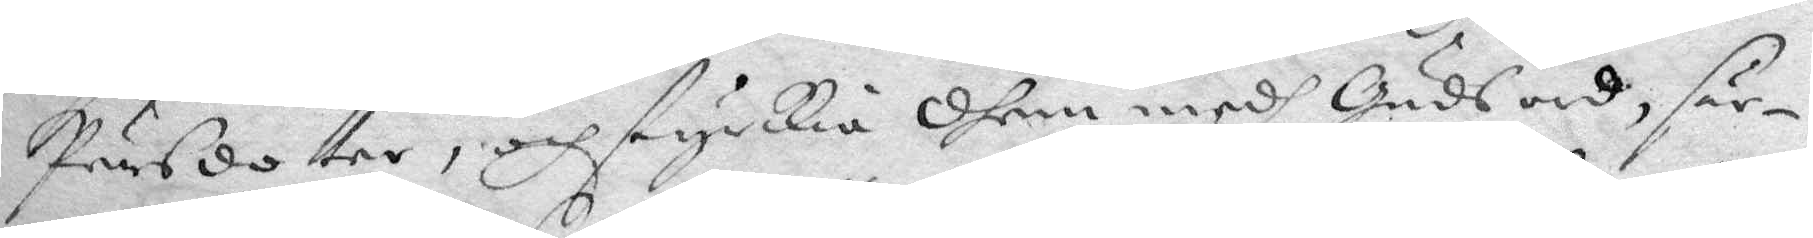Pärsdotter, och styrkia dhem medh Guds ord, sär¬
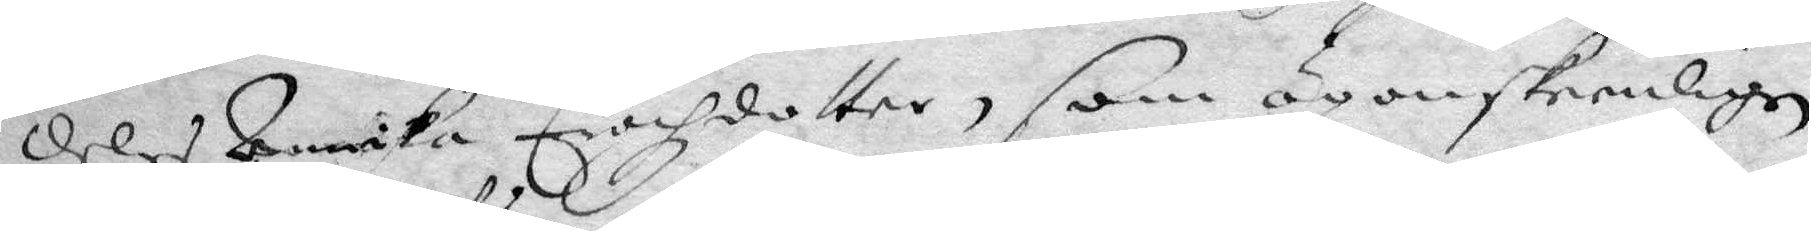deles Annika Erichzdotter, som ögonskeenligen
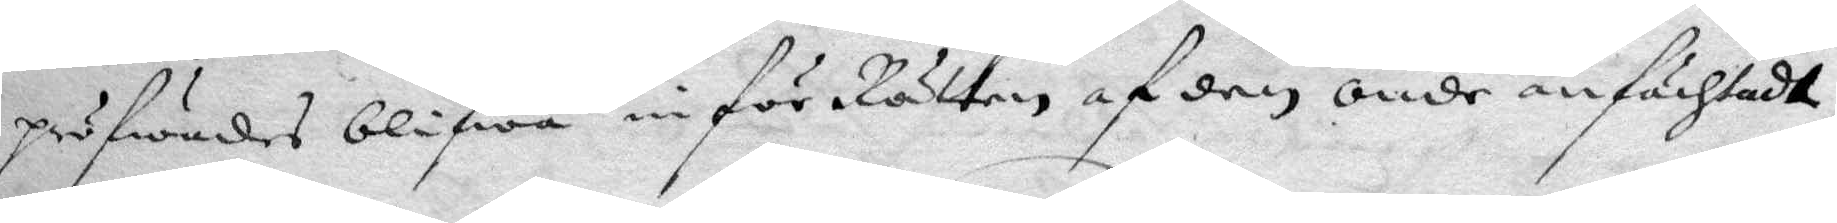pröfwades blifwa in för Rätten af den onde anfächtadt,
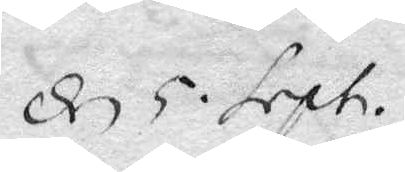den 5 sept.
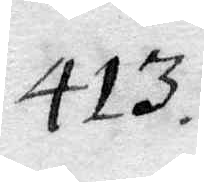413.
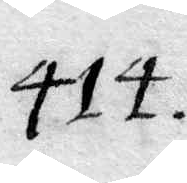414.
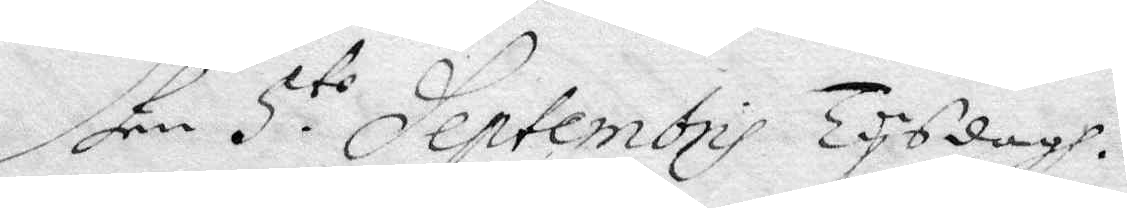dhen 5:to Septembris Tysdagh.
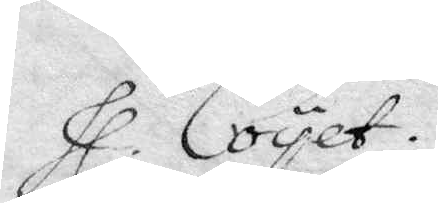Hl. Coyet.
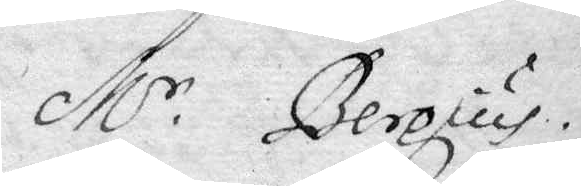M.r Bergius.
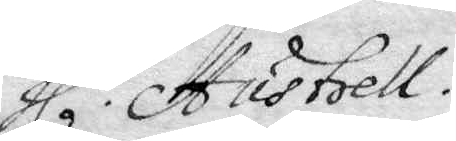Hl. Austrell.
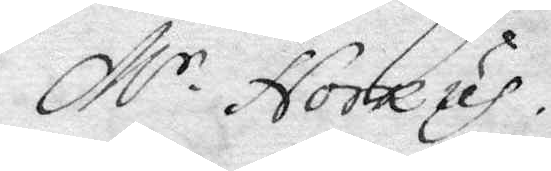M.r Noreus.
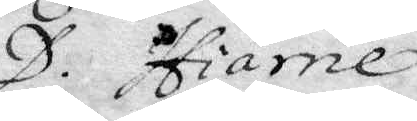D. Hiärne
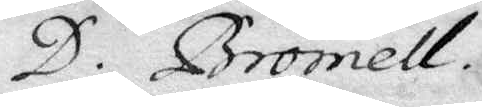D. Bromell.
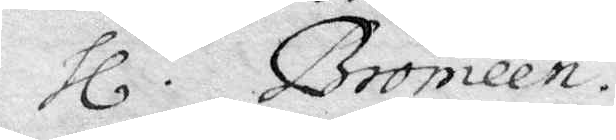Hl. Bromeén.
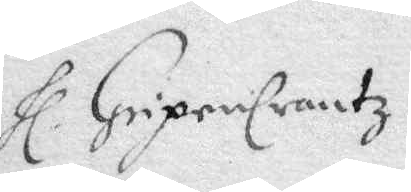Hl. Gripencrantz.
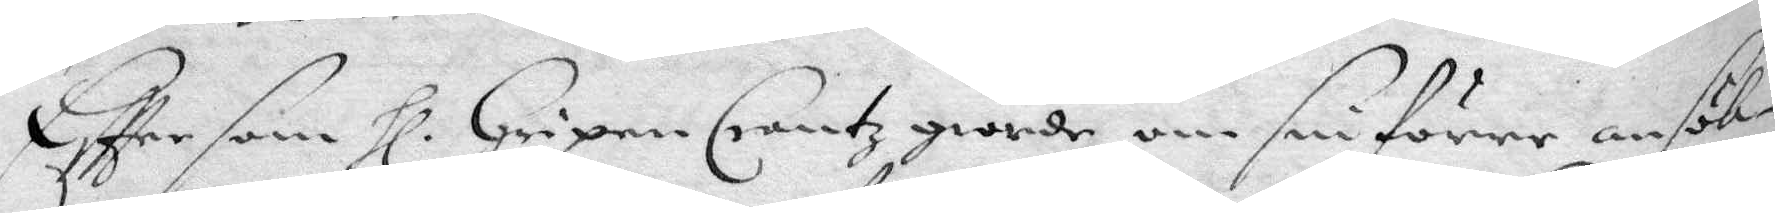Effter som Hl. Gripen Crantz giorde om sin förre ansök¬
